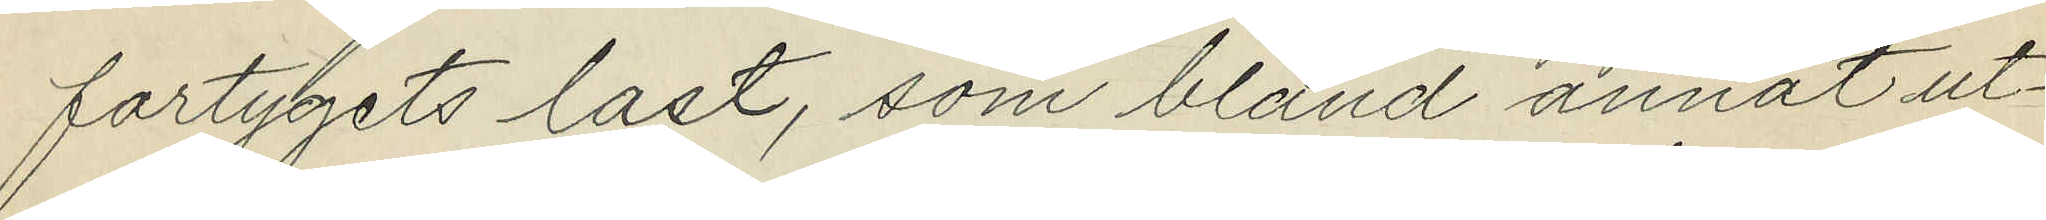fartygets last, som bland annat ut¬
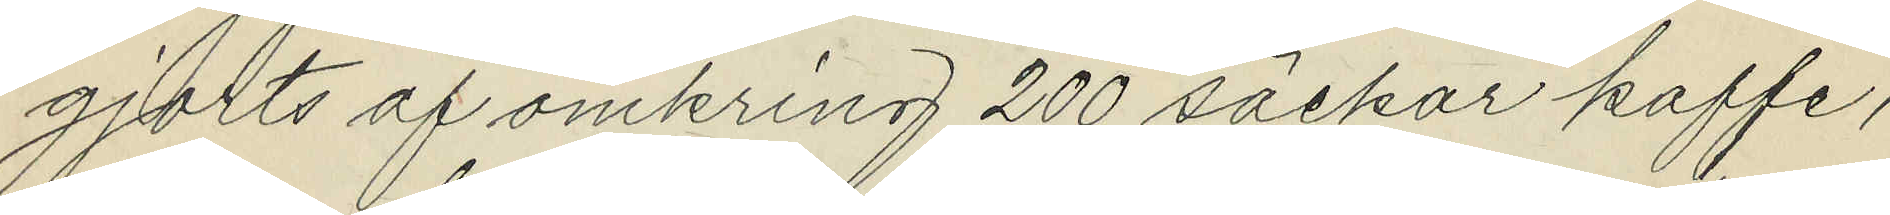gjorts af omkring 200 säckar kaffe,
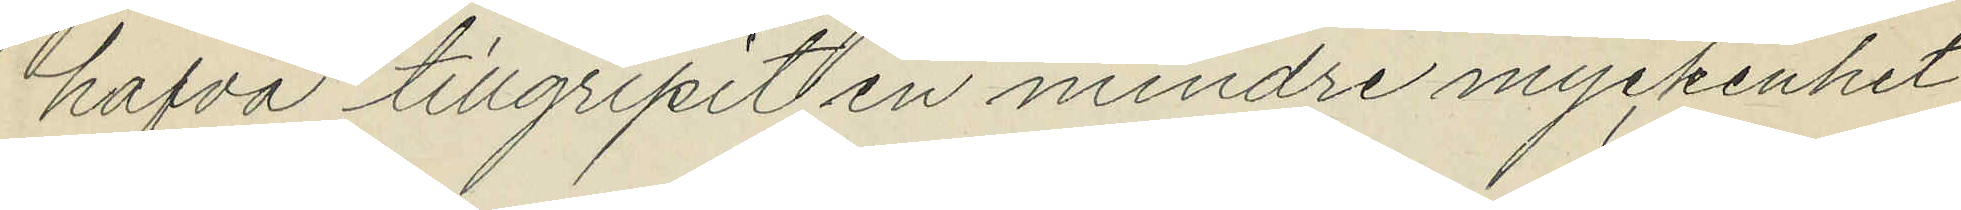hafva tillgripit en mindre myckenhet
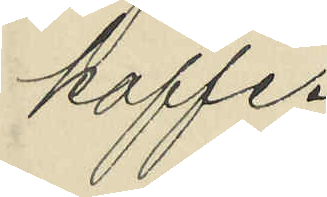kaffe.
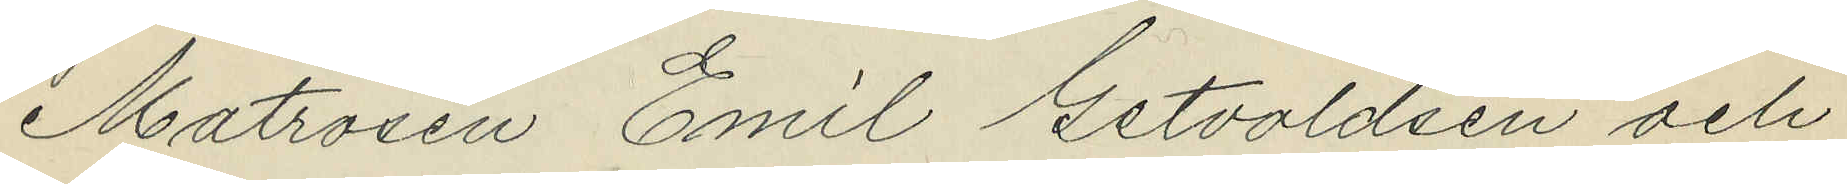Matrosen Emil Getvoldsen och
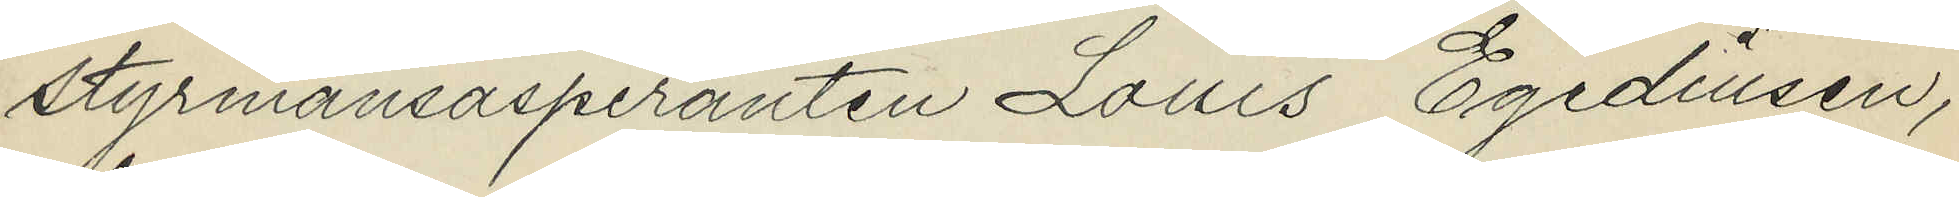styrmansaspiranten Louis Egediusen,
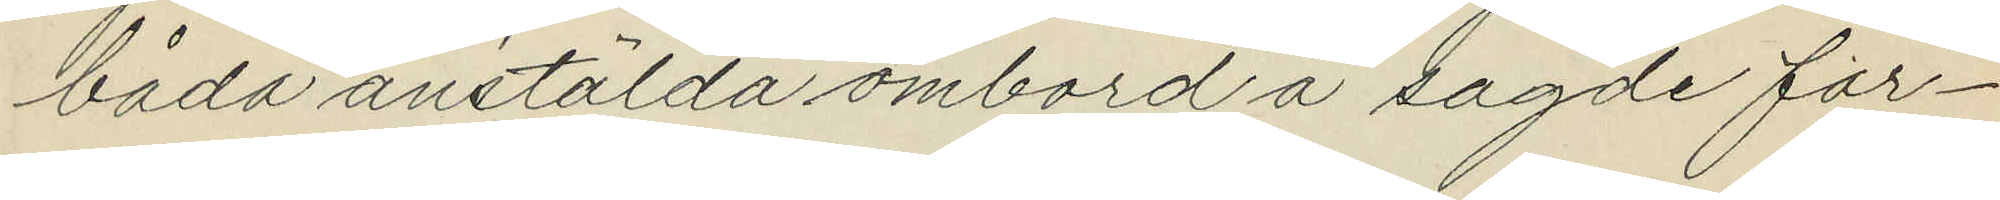båda anstälda ombord å sagde far¬
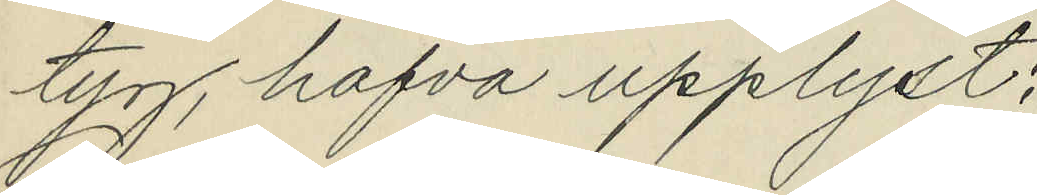tyg, hafva upplyst:
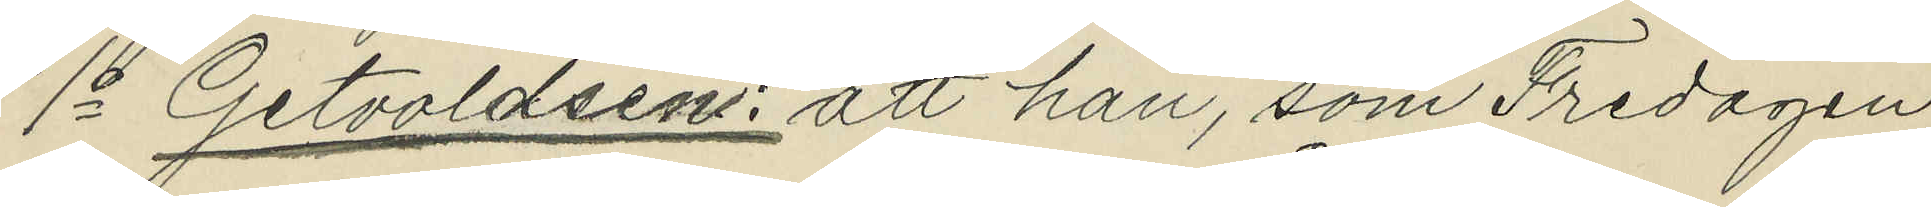1o Getvoldsen: att han, som Fredagen
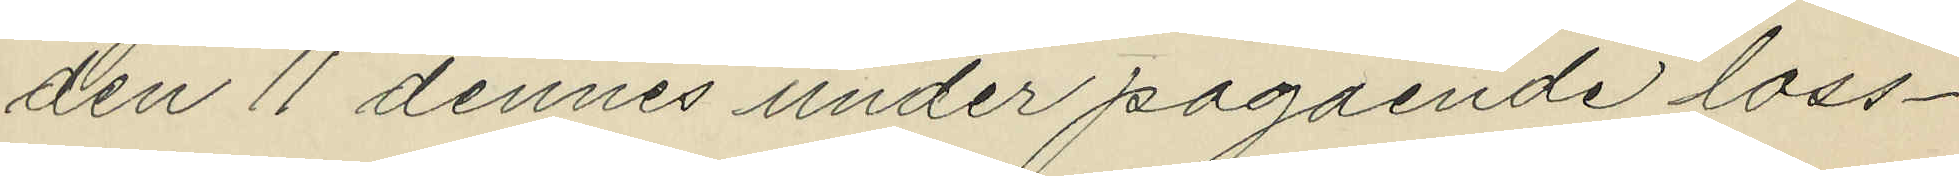den 11 dennes under pågående loss¬
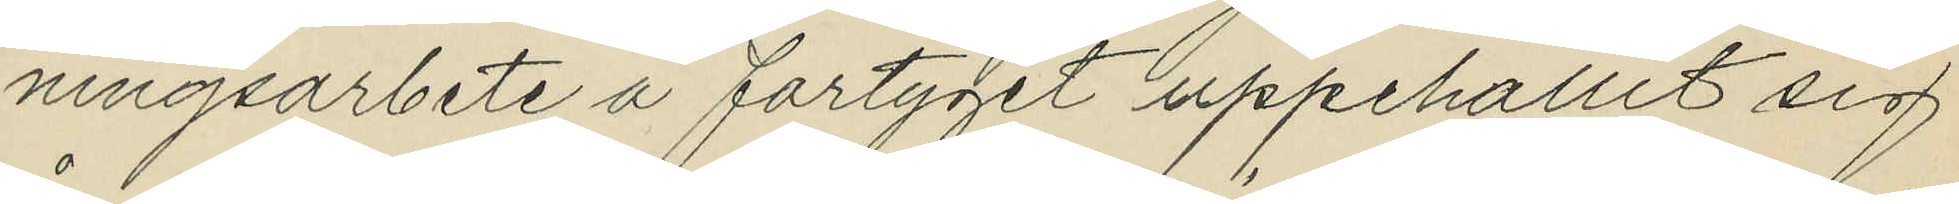ningsarbete å fartyget uppehållit sig
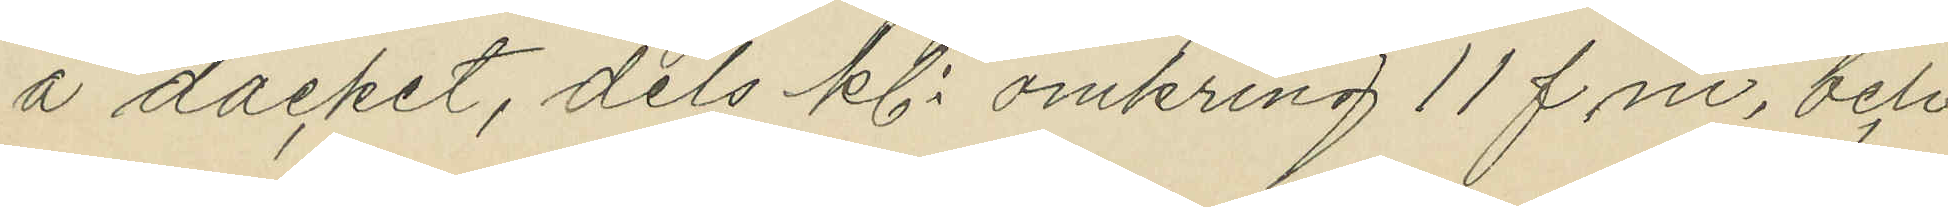å däcket, dels kl. omkring 11 f.m. och
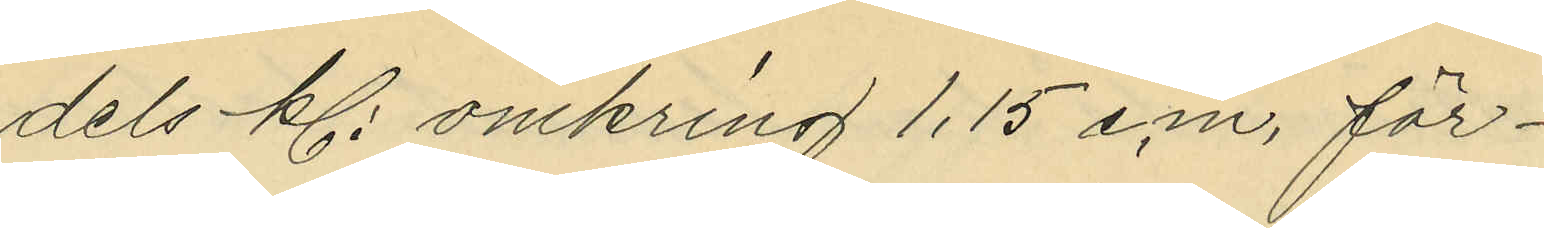dels kl. omkring 1,15 e.m. för¬
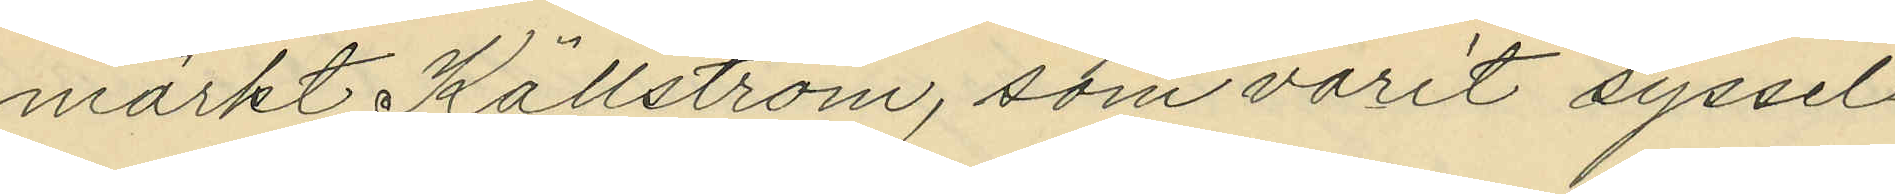märkt Källström, som varit syssel¬
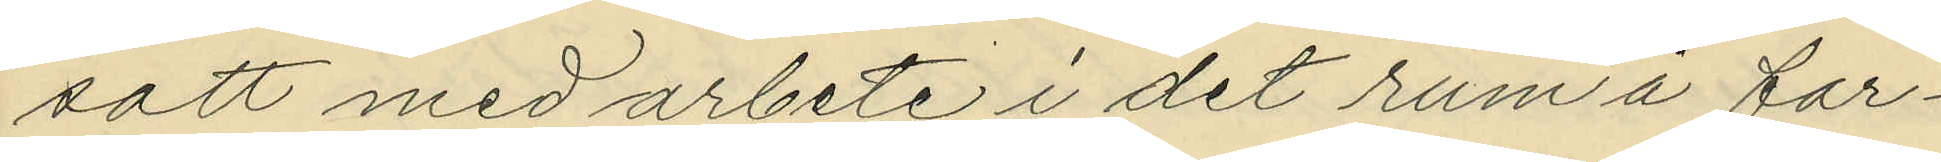satt med arbete i det rum å far¬
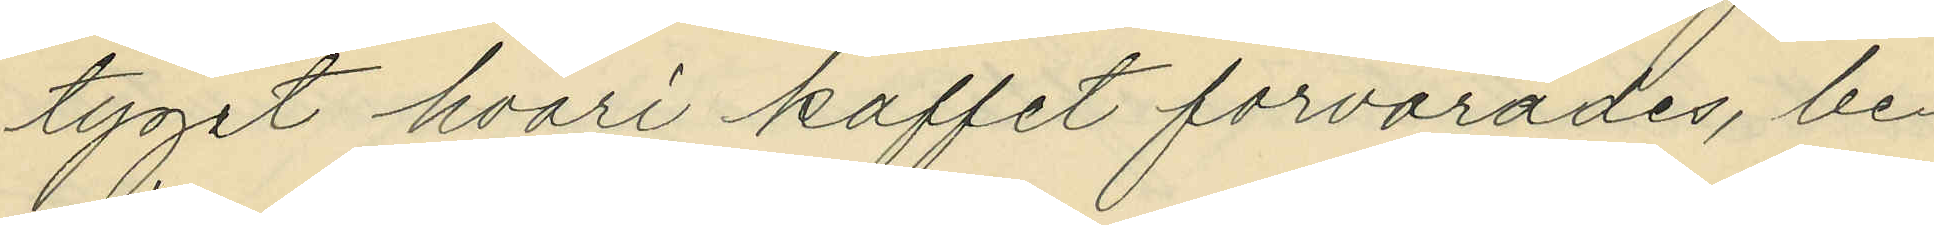tyget hvari kaffet forvarades, be¬
